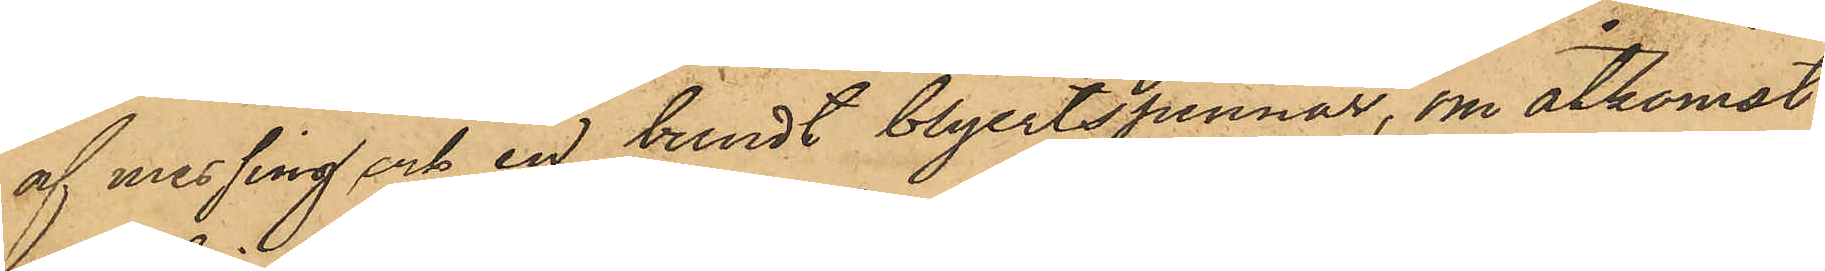af messing och en bundt blyertspennor, om åtkomst
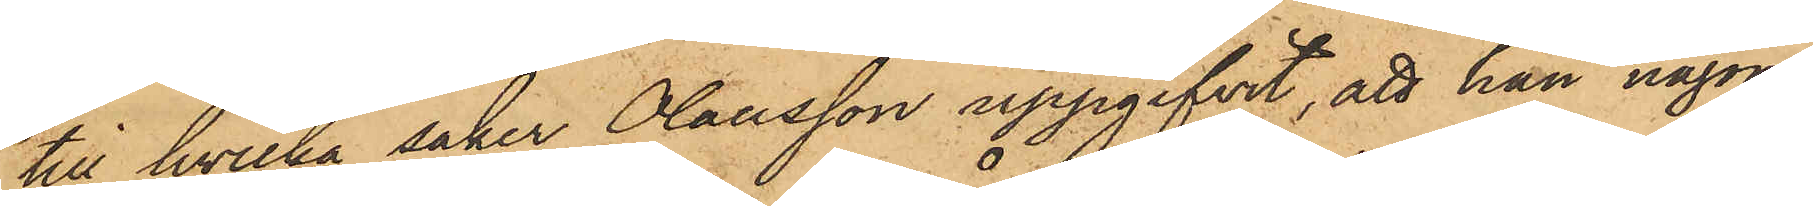till hvilka saker Olausson uppgifvit, att han någon
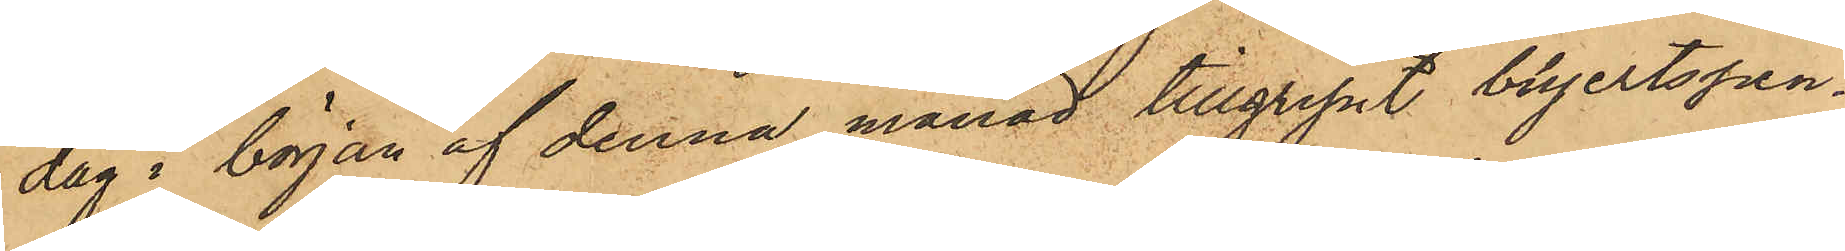dag i början af denna månad tillgripit blyertspen¬
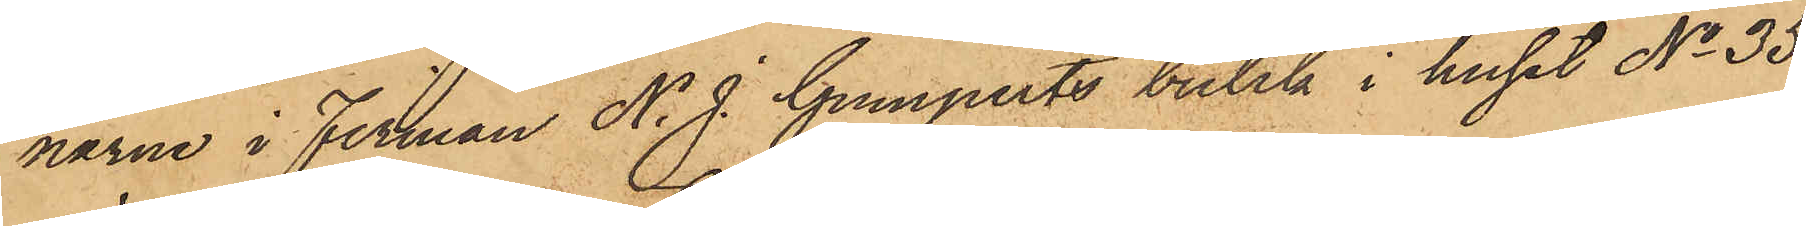narne i Firman N. J. Gumperts butik i huset No 35
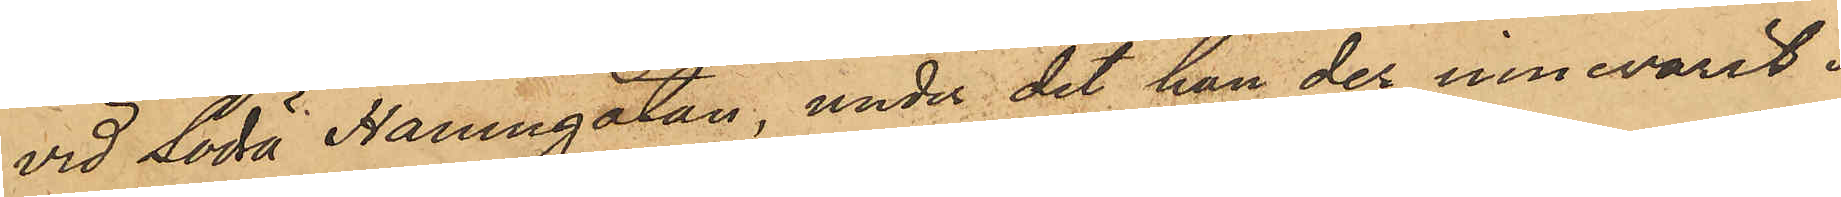vid Södra Hamngatan, under det han der innevarit i
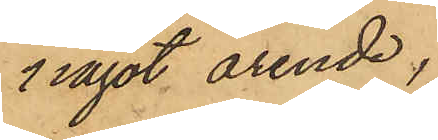något ärende,
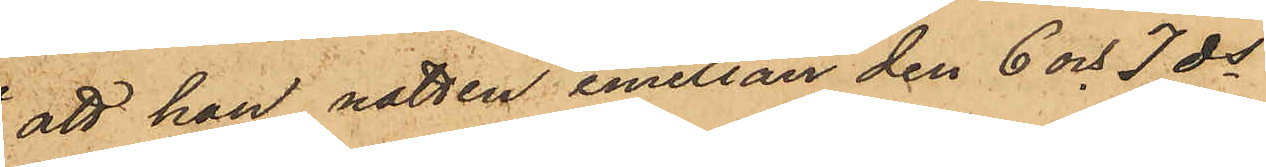att han natten emellan den 6 och 7 ds
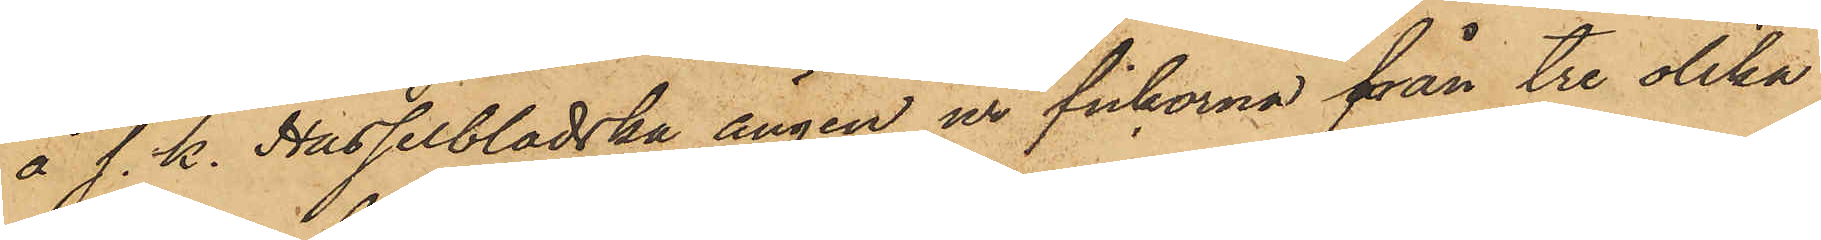å s. k. Hasselbladska ängen ur fickorna från tre olika
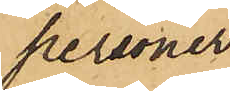personer
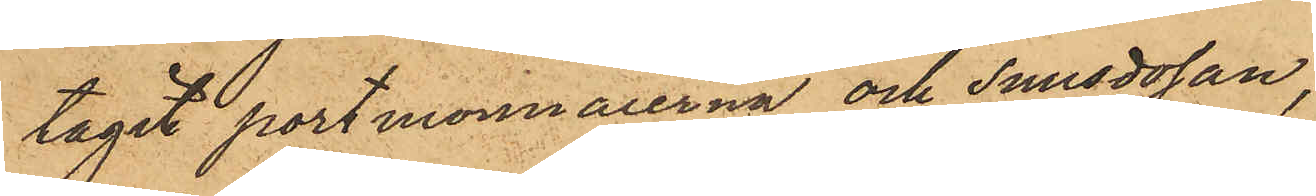tagit portmonnaierna och snusdosan,
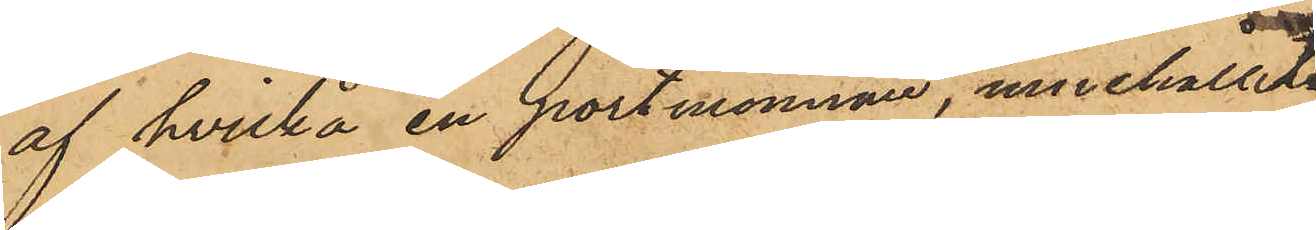af hvilka en portmonnaie innehållit
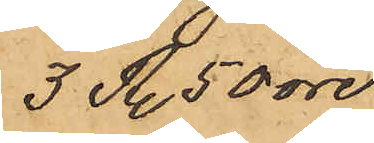3 R. 50 öre,
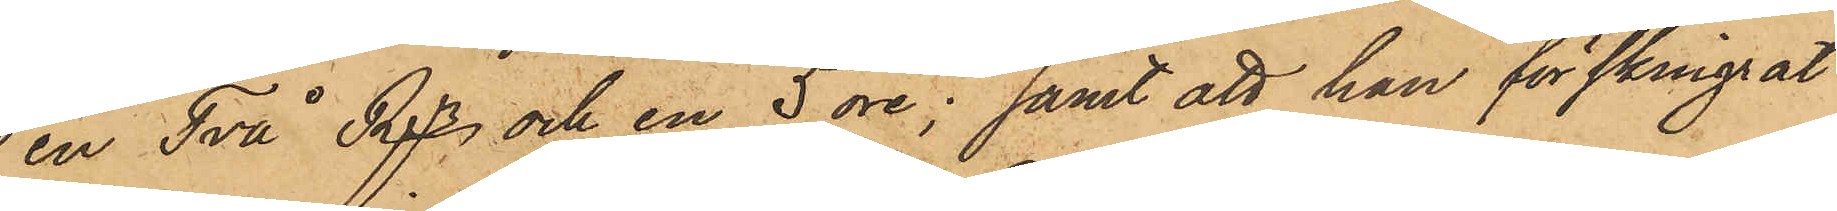en Två Rgr och en 5 öre; samt att han förskingrat
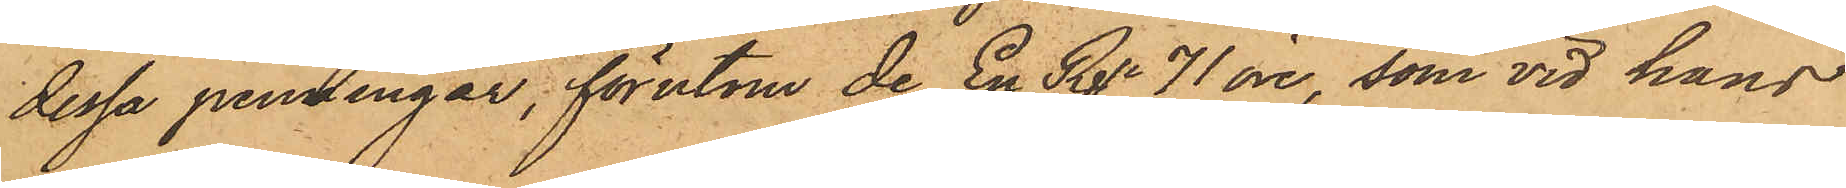dessa penningar, förutom de En Rgr 71 öre, som vid hans
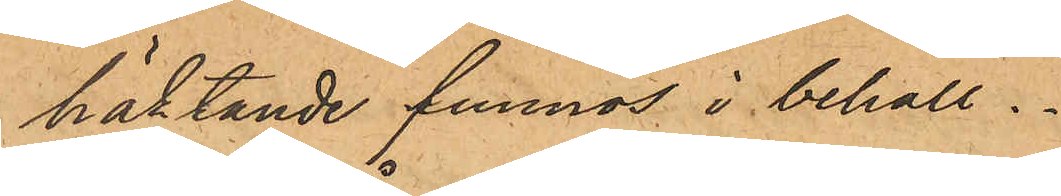häktande funnos i behåll.
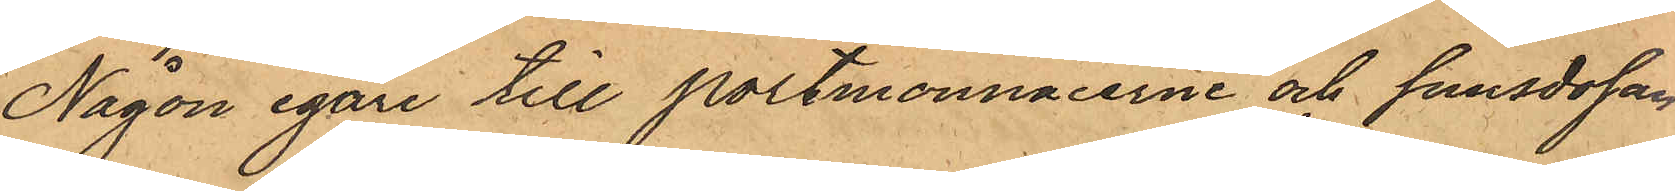Någon egare till portmonnaierne och snusdosan
